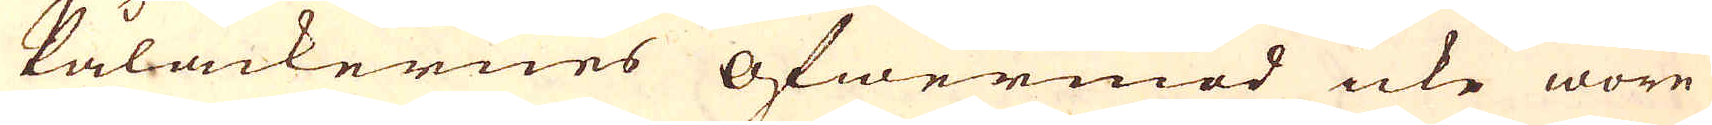Pålackernes öfwermod icke wore
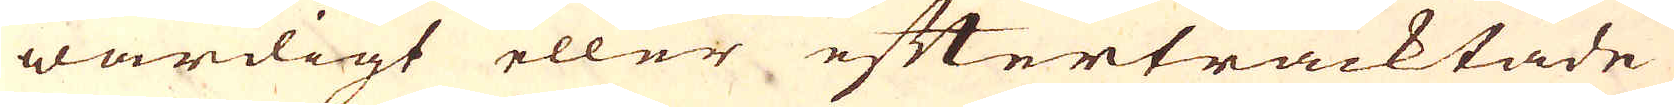wärdigt eller eftertracktade
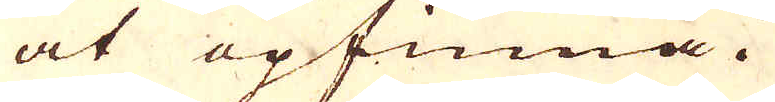at opfinna.
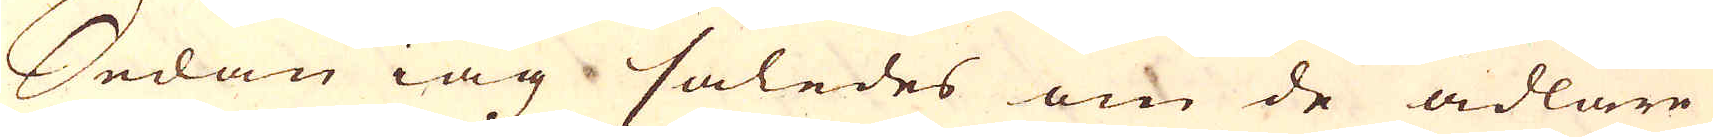Sedan iag således om de ädlare
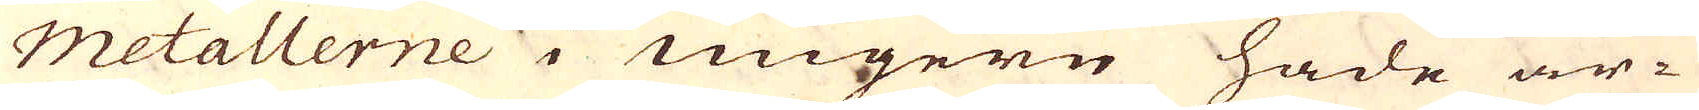metallerne i Ungern hade är-
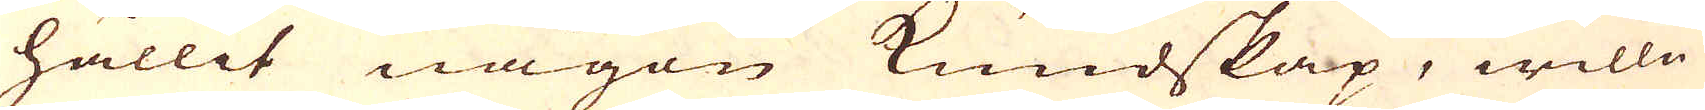hållit någon Kundskap, wille
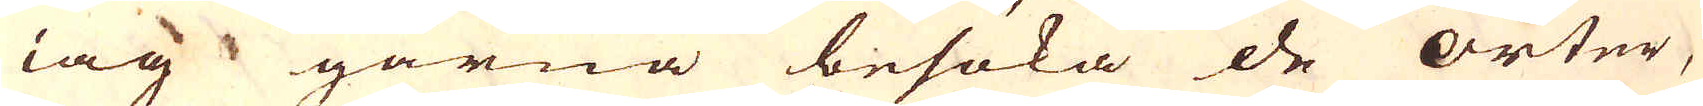iag gärna besöka de orter,
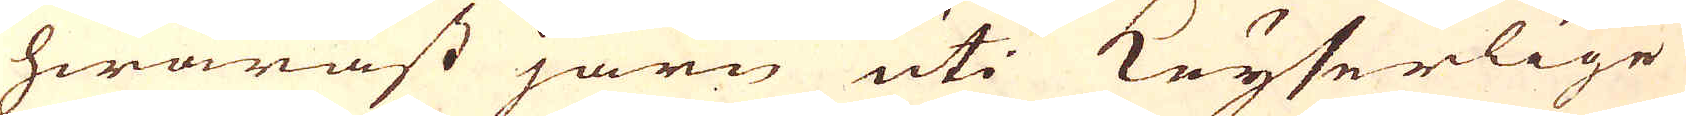hwaräst järn uti Keyserlige
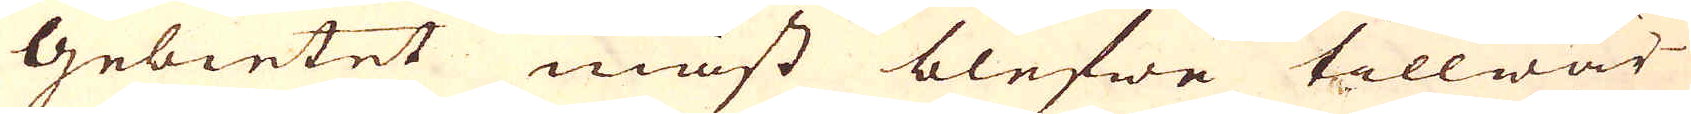Gebietet mäst blefwe tillwär-
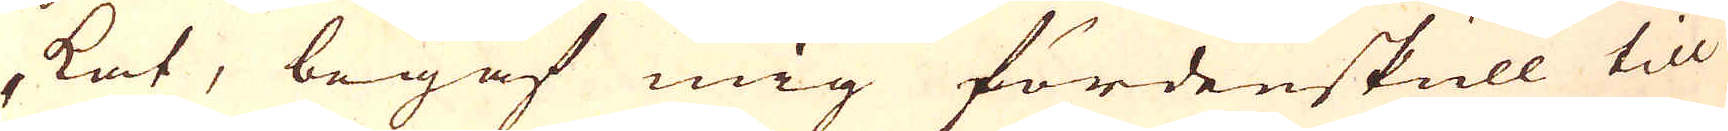kat, begaf mig fördenskull till
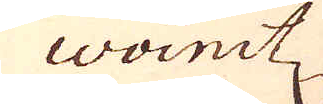Woinitz
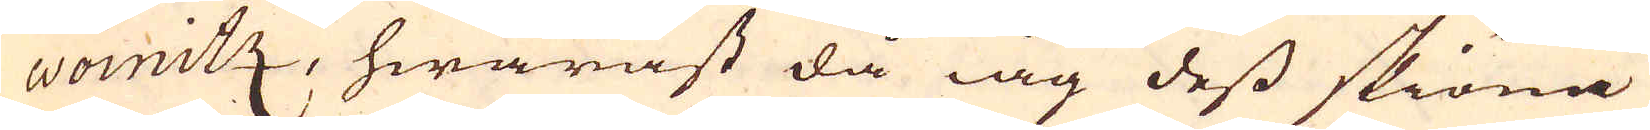Woinitz, hwaräst då iag dess skiöna
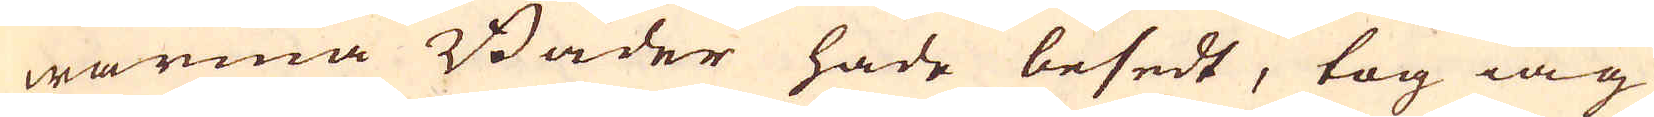warma Bader hade besedt, tog iag
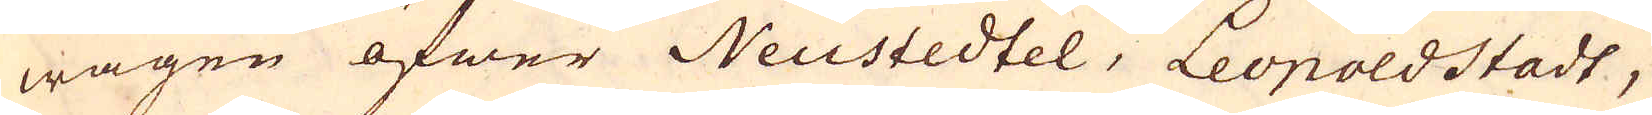wägen öfwer Neustedtel, Leopoldstadt,
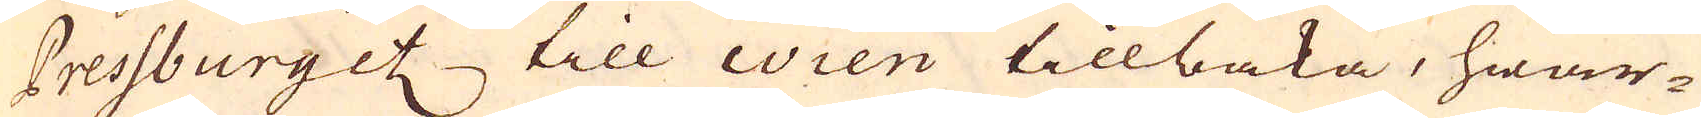Pressburgetz till Wien tillbaka, hwar-
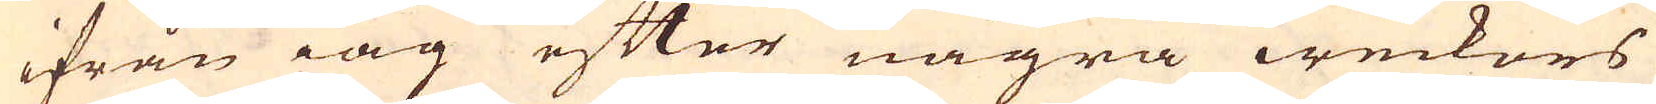ifrån iag efter några weckors
